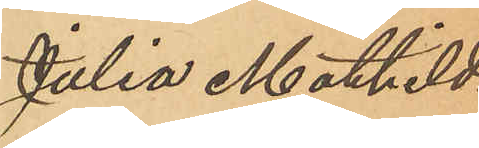Julia Mathilda
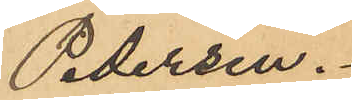Pedersen.
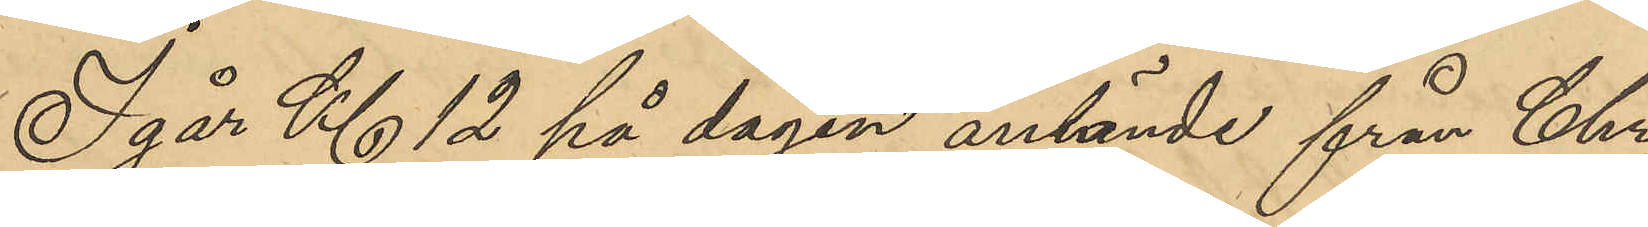Igår Kl 12 på dagen anlände från Chri¬
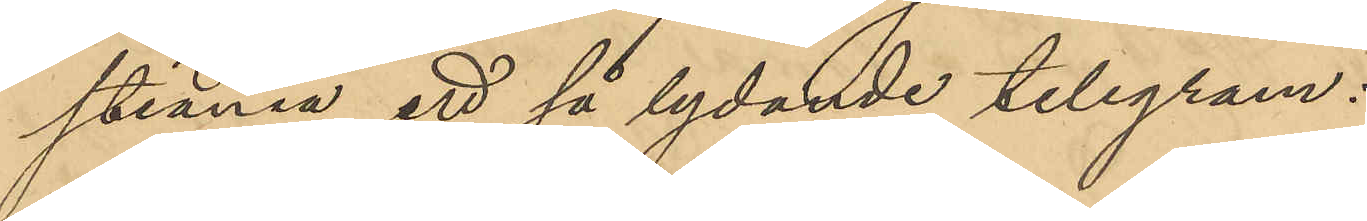stiania ett så lydande telegram:
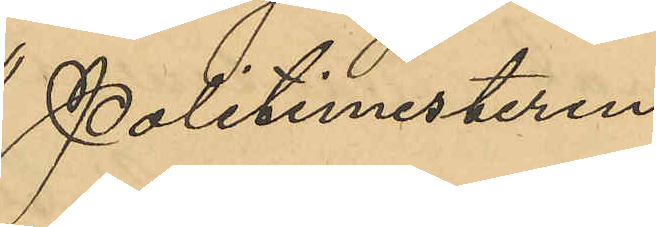"Politimesteren
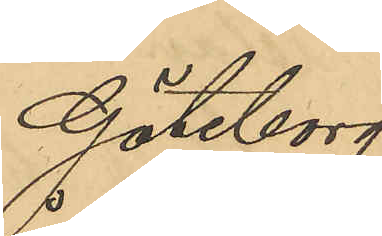Göteborg.
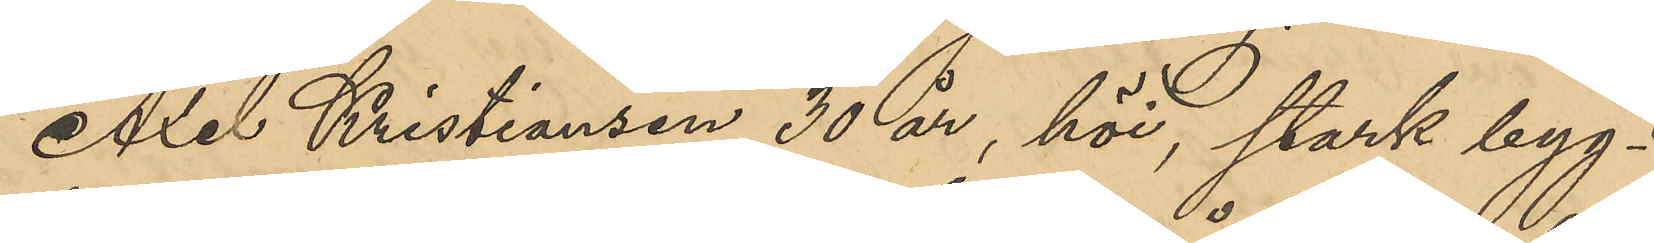Axel Kristiansen 30 år, höi, stark byg¬
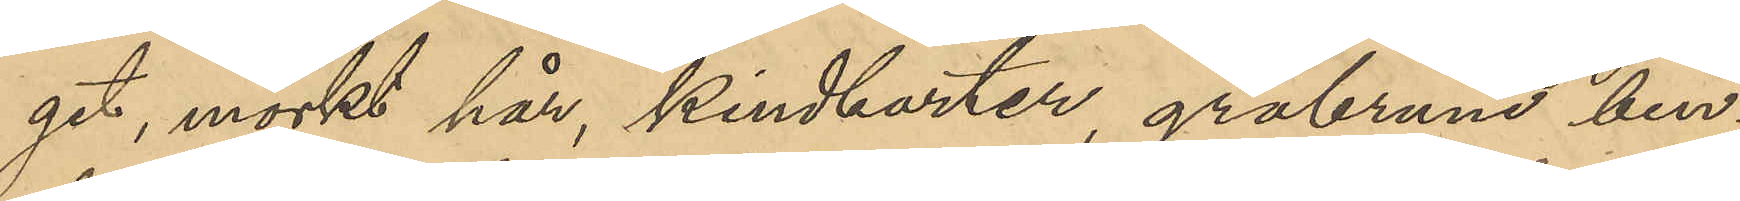get, mörkt hår, kindborter, gråbrune ben¬
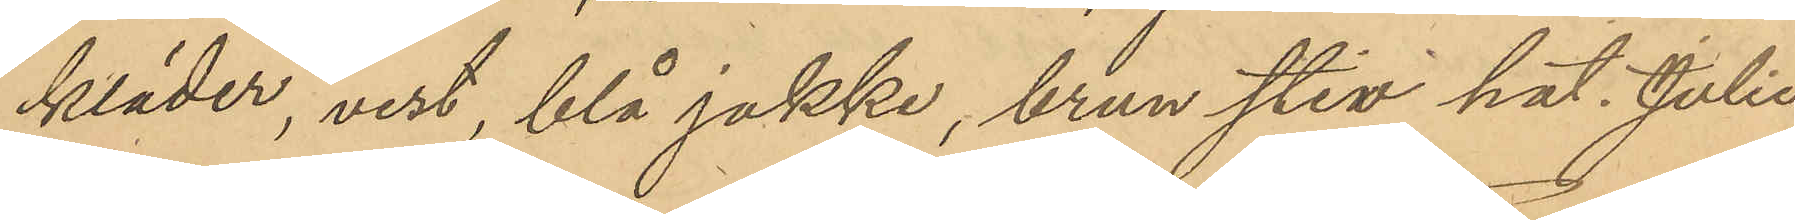kläder, vest blå jakke, brun stiv hat. Julie
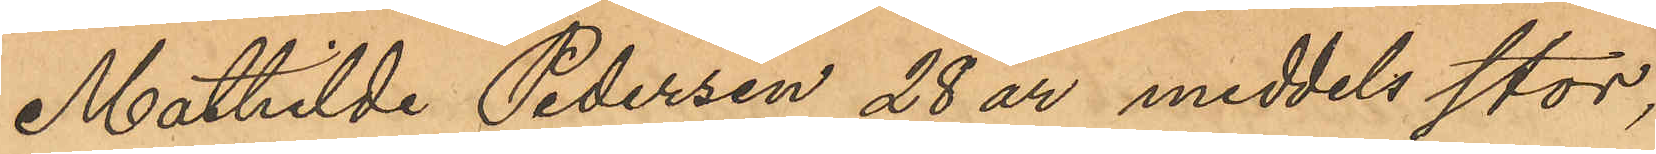Mathilda Pedersen 28 år medels stor,
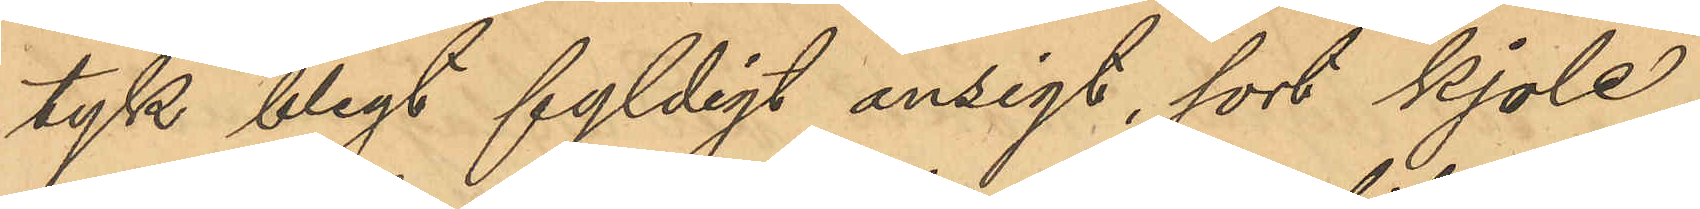tyk blegt fyldigt ansigt, sort kjole,
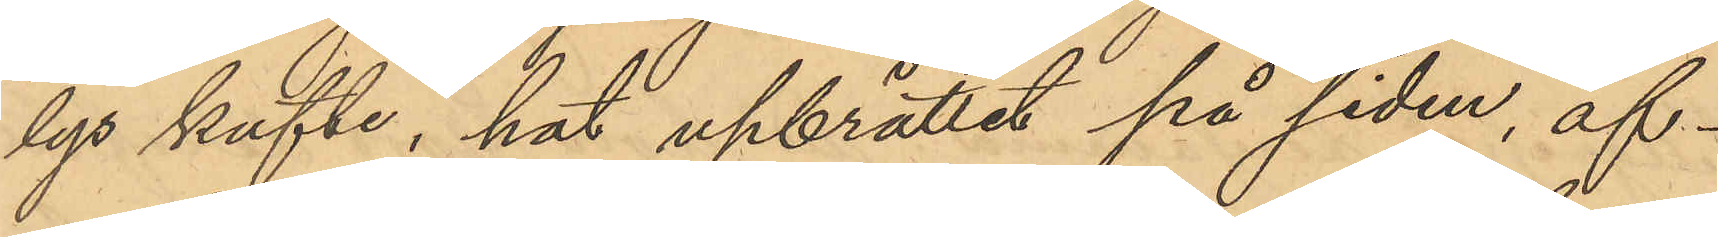lys kofte, hat upbrättat på siden, af¬
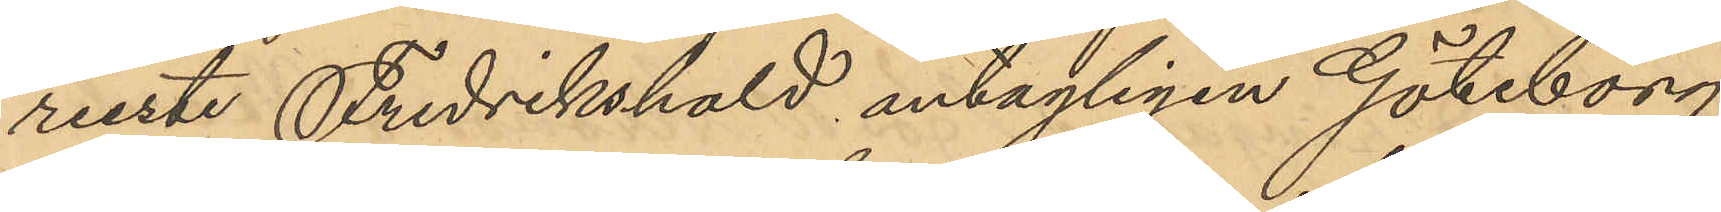reste Fredrikshald antagligen Göteborg
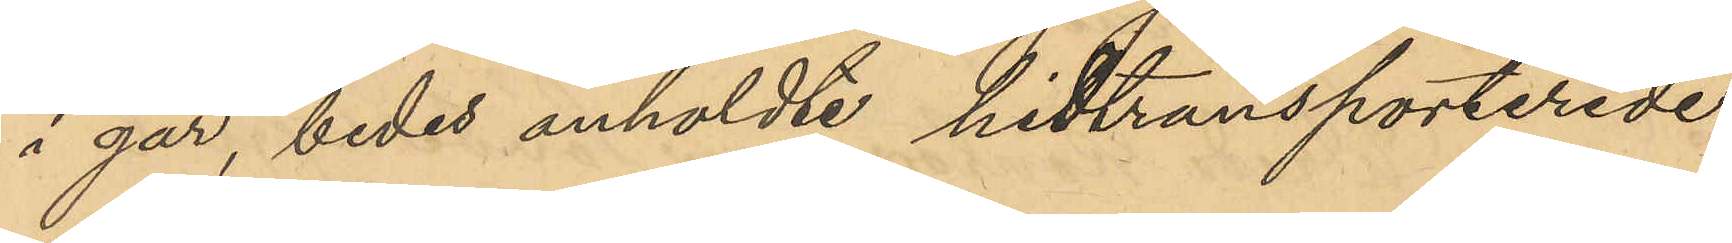i går, bedet anholdte hidtransporterede
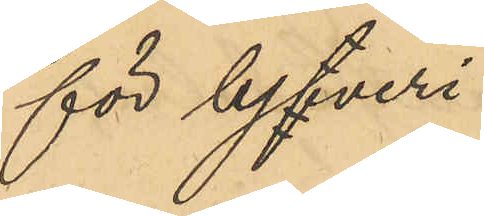för tyfveri.
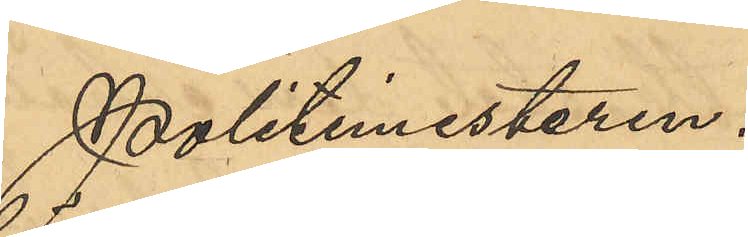Politimesteren."
